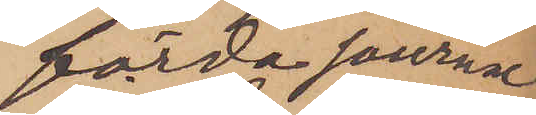förda journal
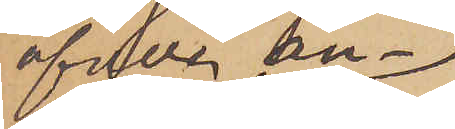öfver an¬
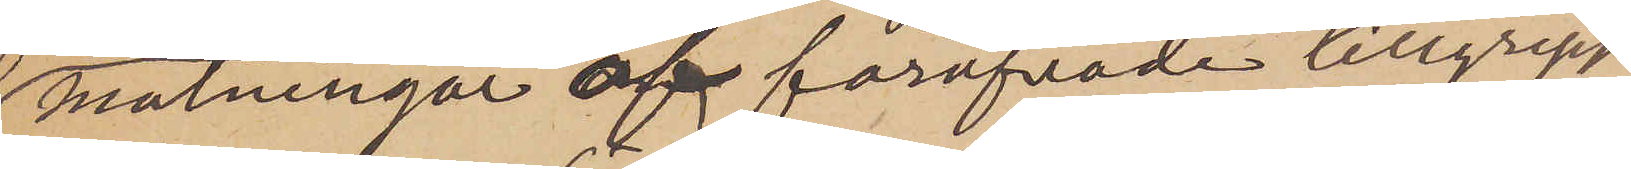mälningar af föröfvade tillgrepp
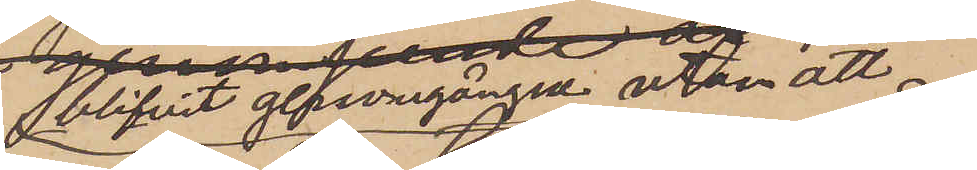blifvit genomgången utan att
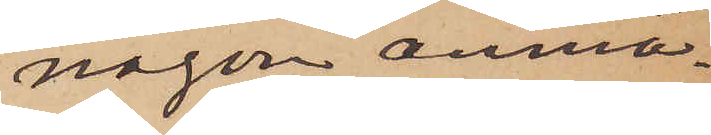någon anmä¬
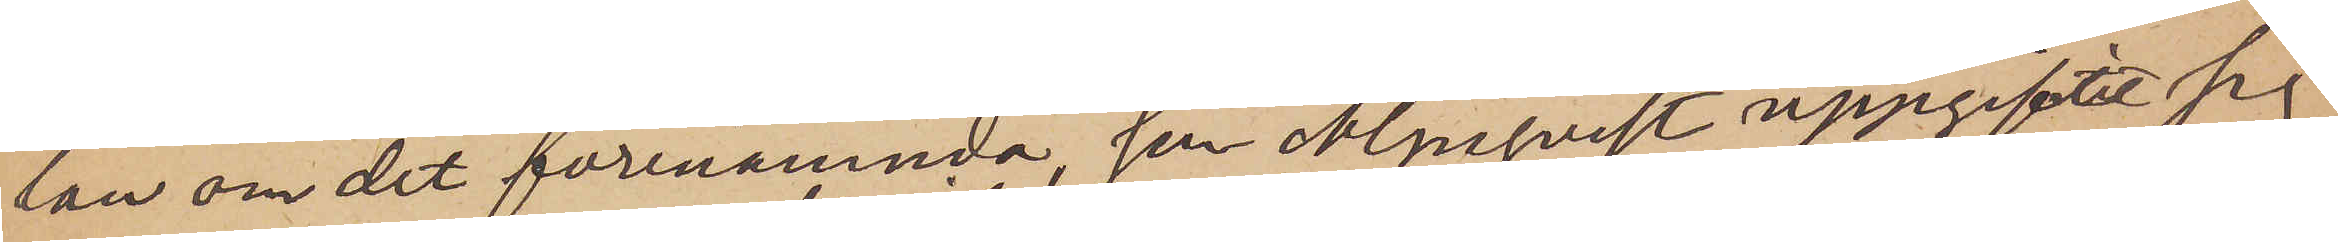lan om det förenämnda,  som Almqvist uppgifvit sig
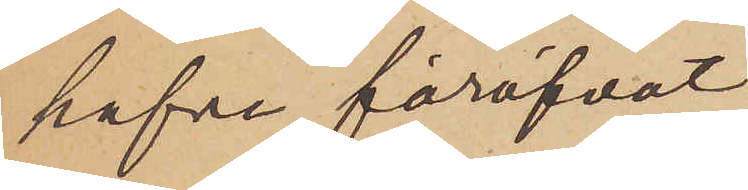hafva föröfvat
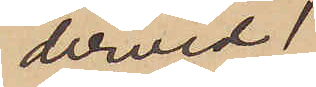dervid
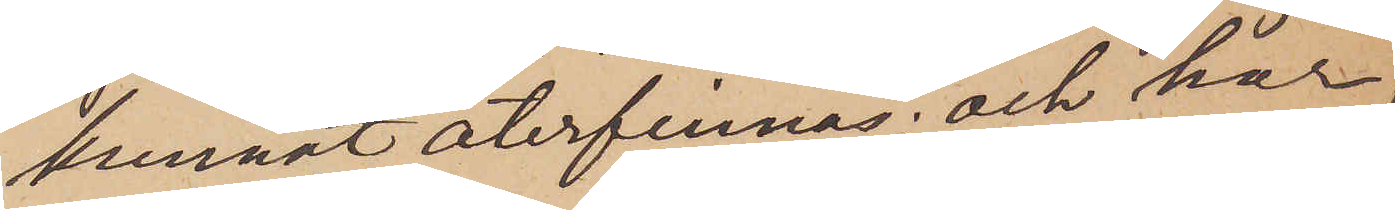kunnat återfinnas; och har,
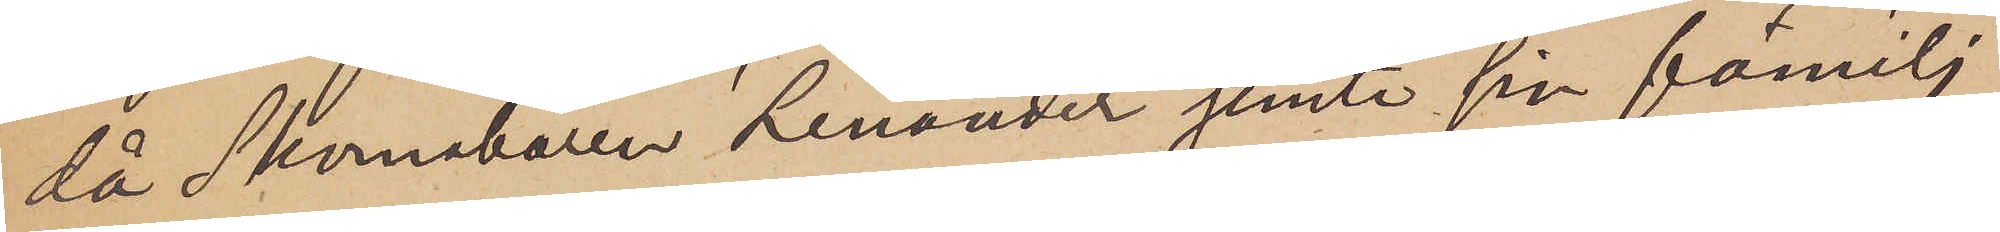då Skomakaren Lenander jemte sin familj
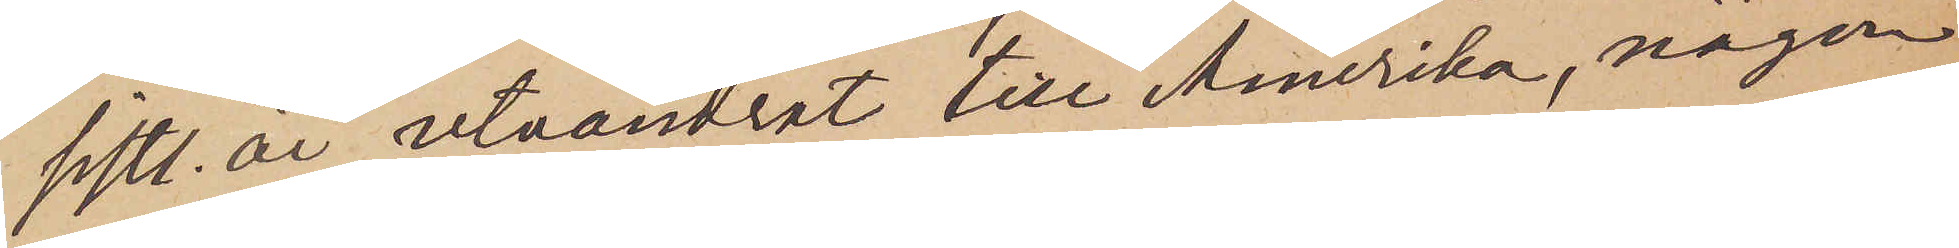sistl. år utvandrat till Amerika, någon
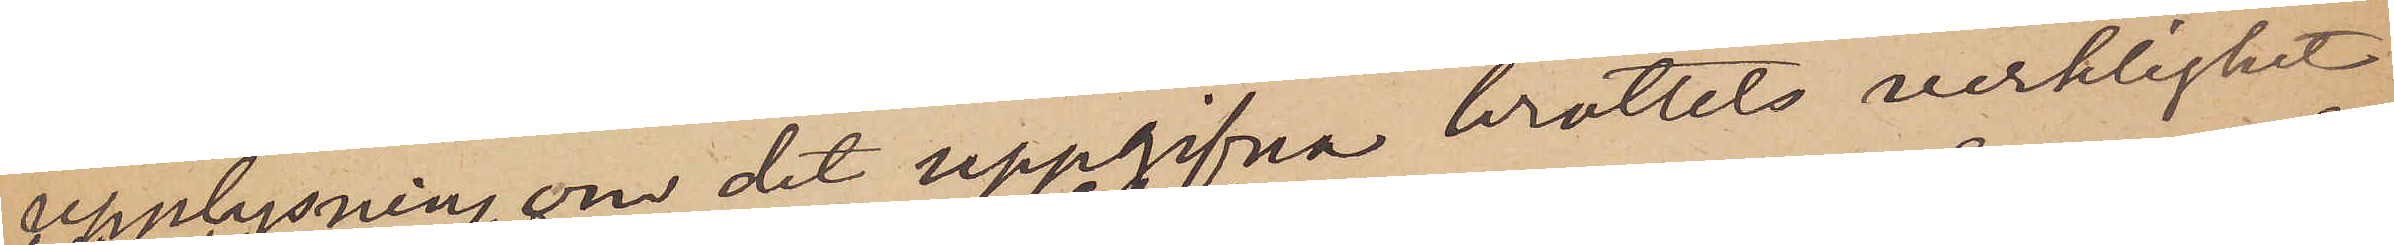upplysning om det uppgifna brottets verklighet
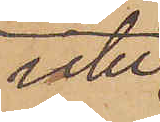icke
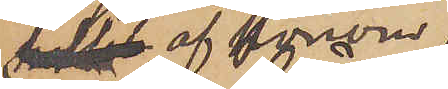af honom
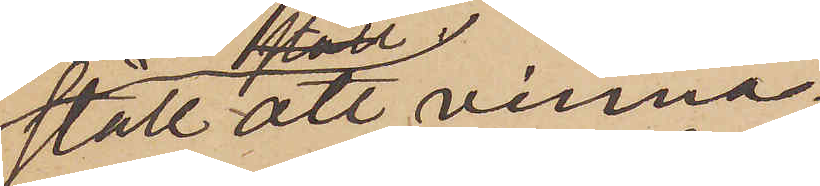stått att vinna.
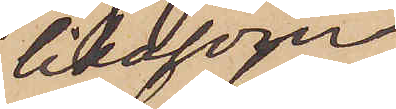likasom
